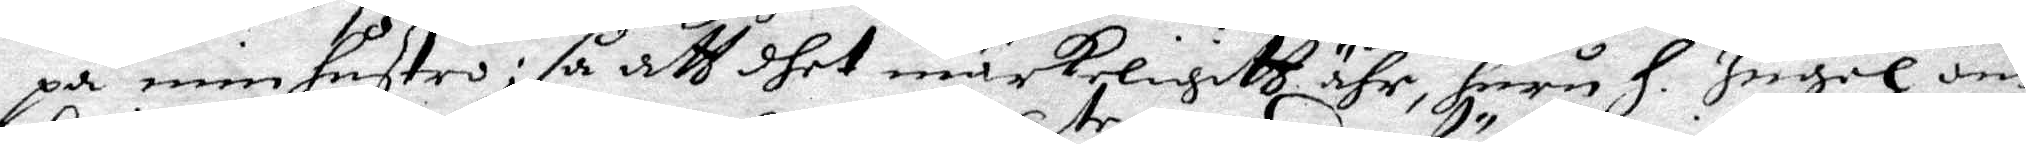på min hustro; så att dhet märkeligitt ähr, huru H. Ingel om 
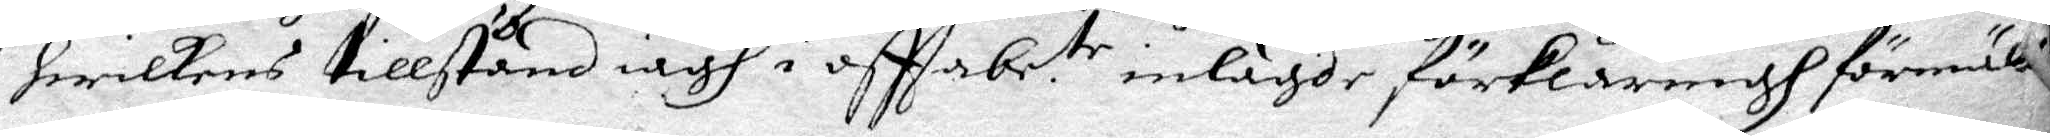hwilkens tillstånd iagh i oftta be.tr inlagde förklaringh förmält
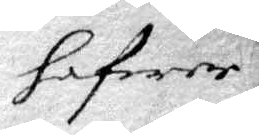hafwer
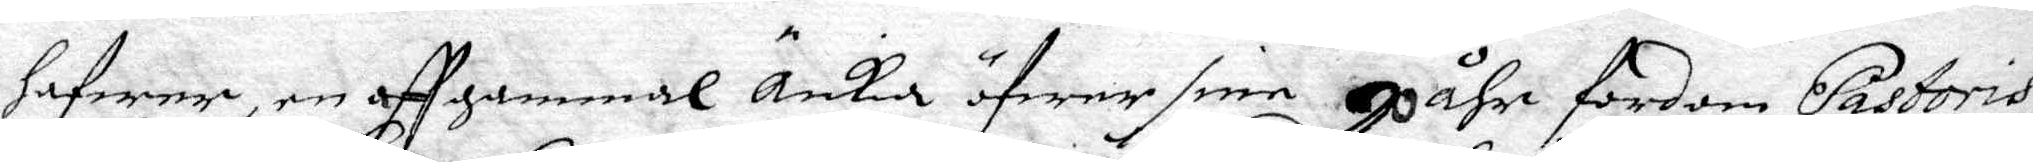hafwer, en aff gammal Änkia öfwer sine Gåhr fordom Pastoris
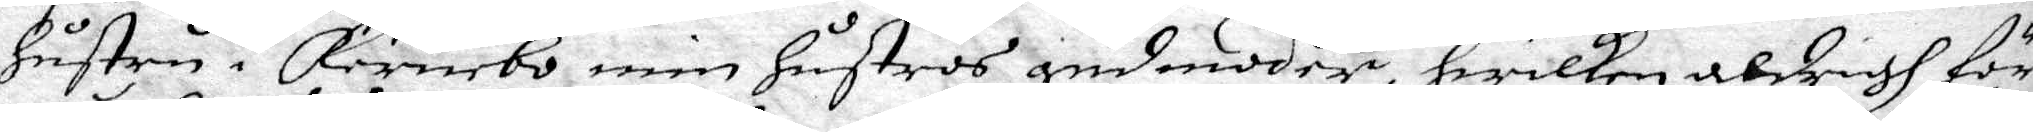Hustru i Kernebo, min hustros gudmoder, hwilken aldrigh för
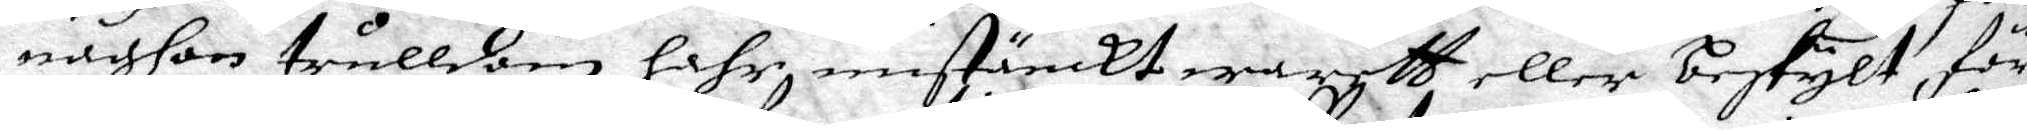någhan trulldom hahr mistänckt warett eller beskylt för
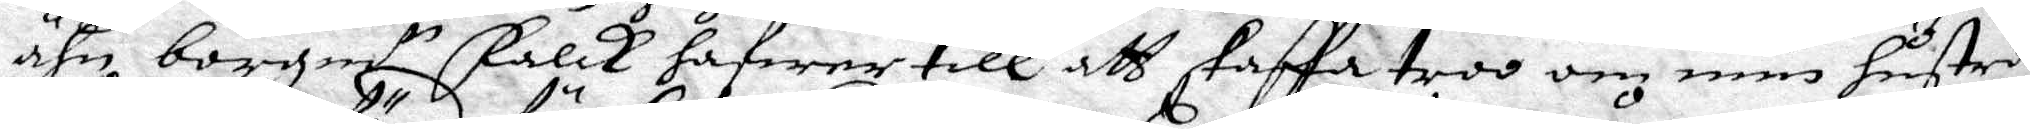ähn borgm.r Falck hafwer till att skaffa troo om min hustros
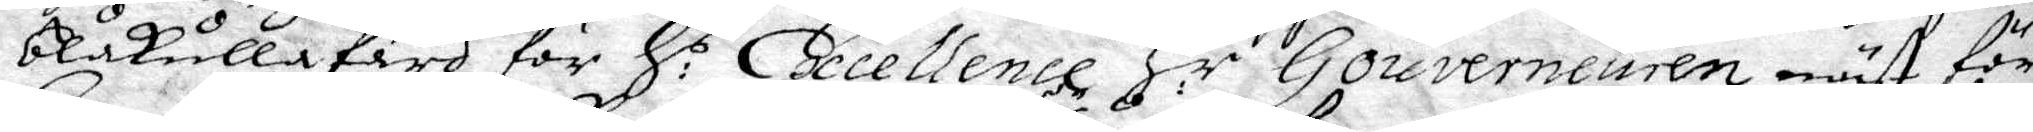blåkulla färd för H.s Ecellence H.r Gouverneuren mäst för
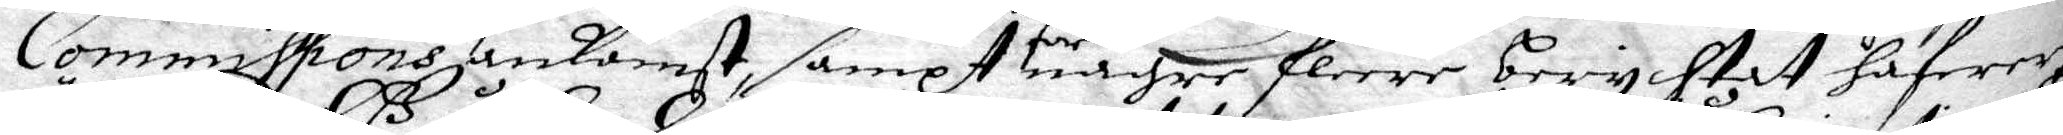Commissions ankomst, sampt för någre fleere berychtat hafwer,
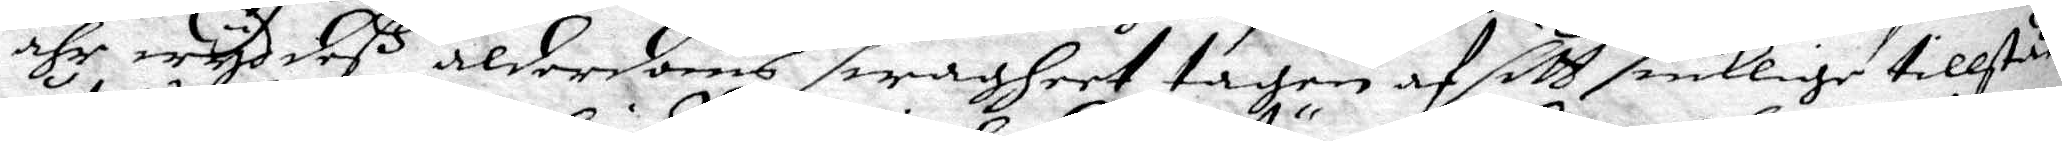ähr wyd deß ålderdoms swagheet tagen af sitt siuklige tillståed
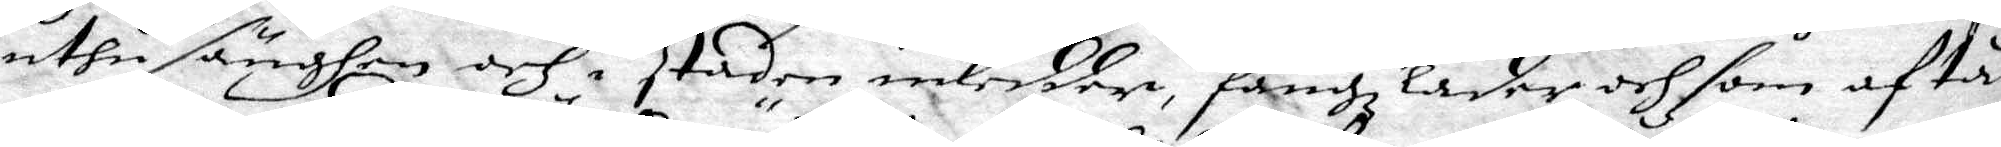uthu sängen och i staden inledder, fängzlader och som af tå
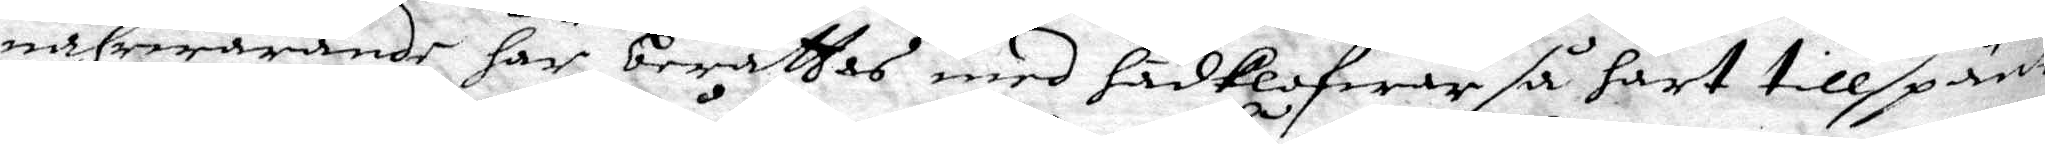nährwarande här berättas med hädklofwar så hårt tillspänt
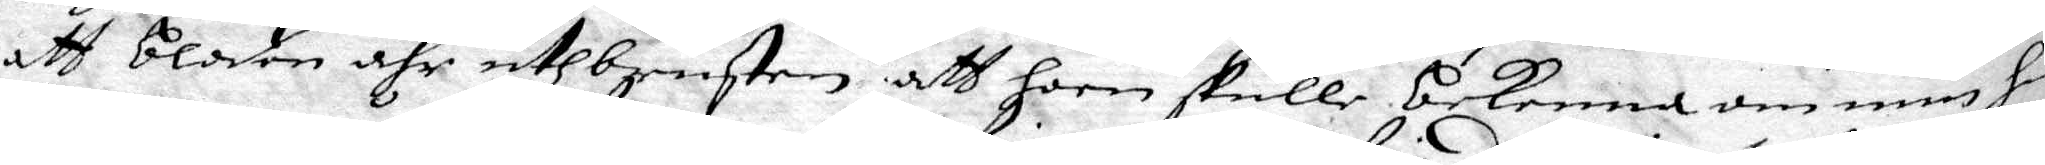att bloden ähr uthbrusten att hon skulle bekenna om min hu¬
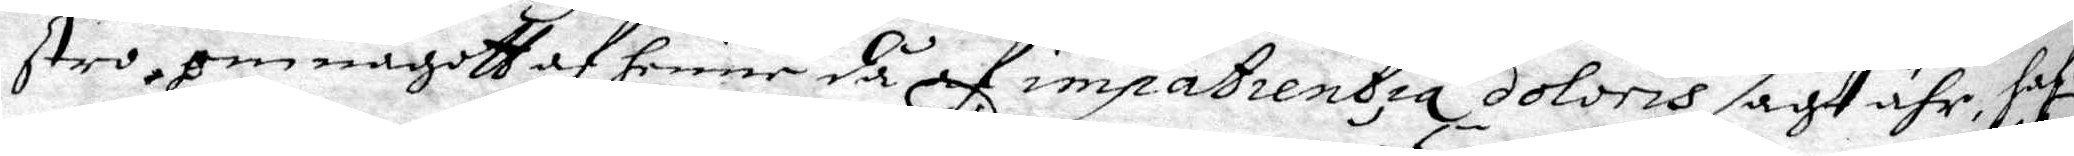stro, om någott af henne då af impatrentia Doloris sagt ähr, haf¬
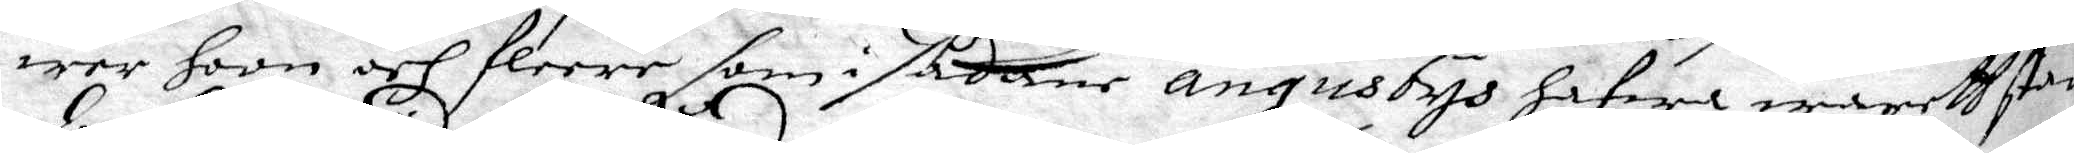wer hoon och fleere som i sådane angustys hafwa warith stad¬
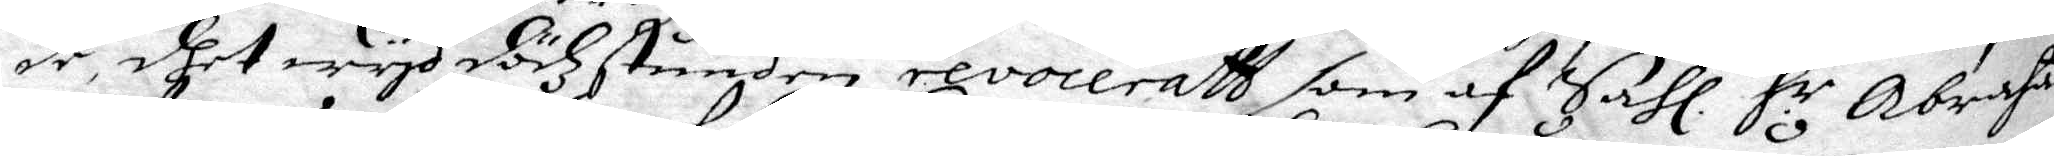de, dhet wyd dödzstunden revoceratt, som af Sahl H:r Abrahas
